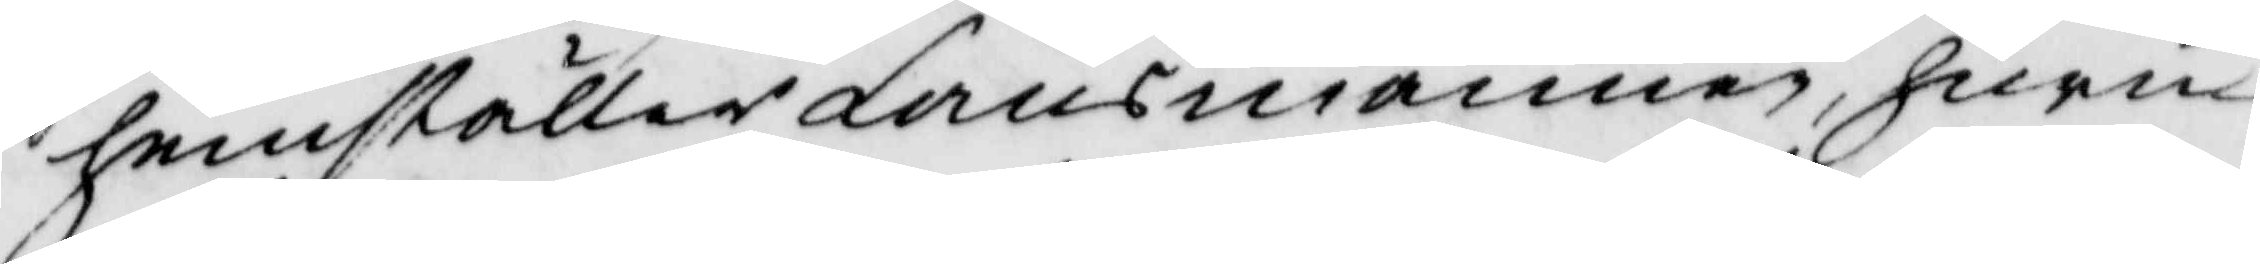hemställer Länsmannen, huru
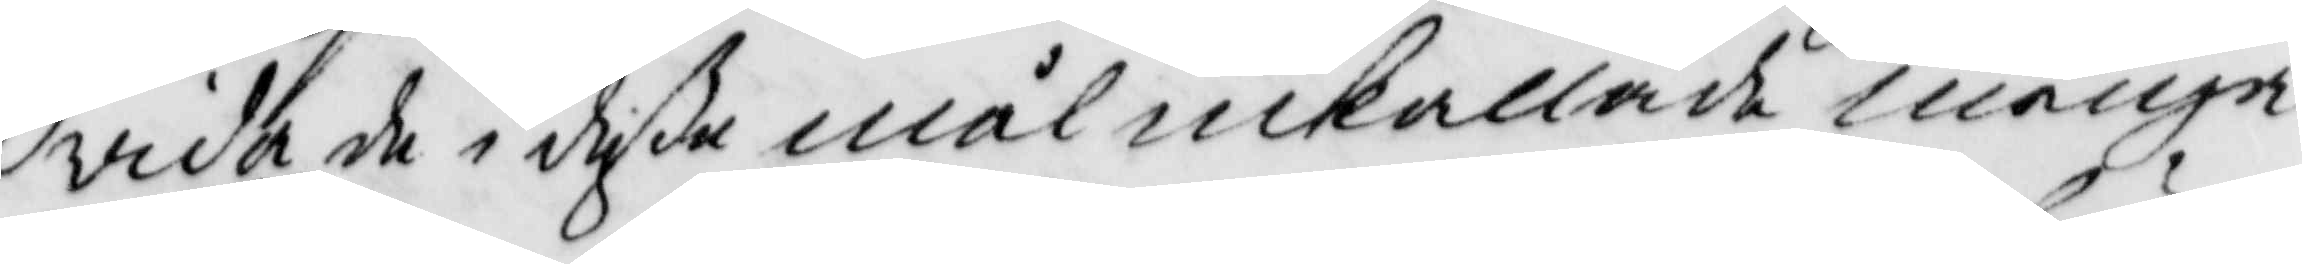vida de i deße mål inkallade många
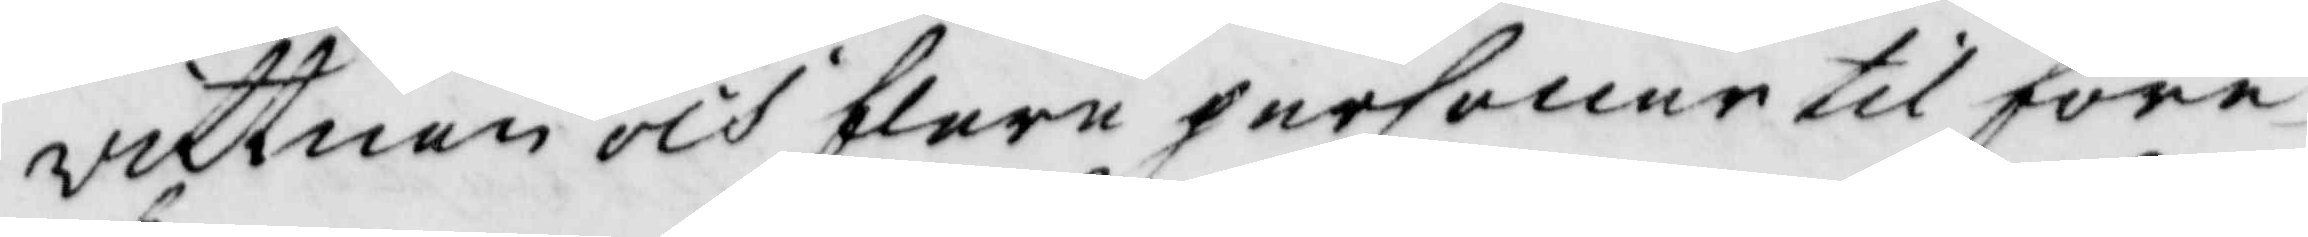vittnen och flere personer till före¬
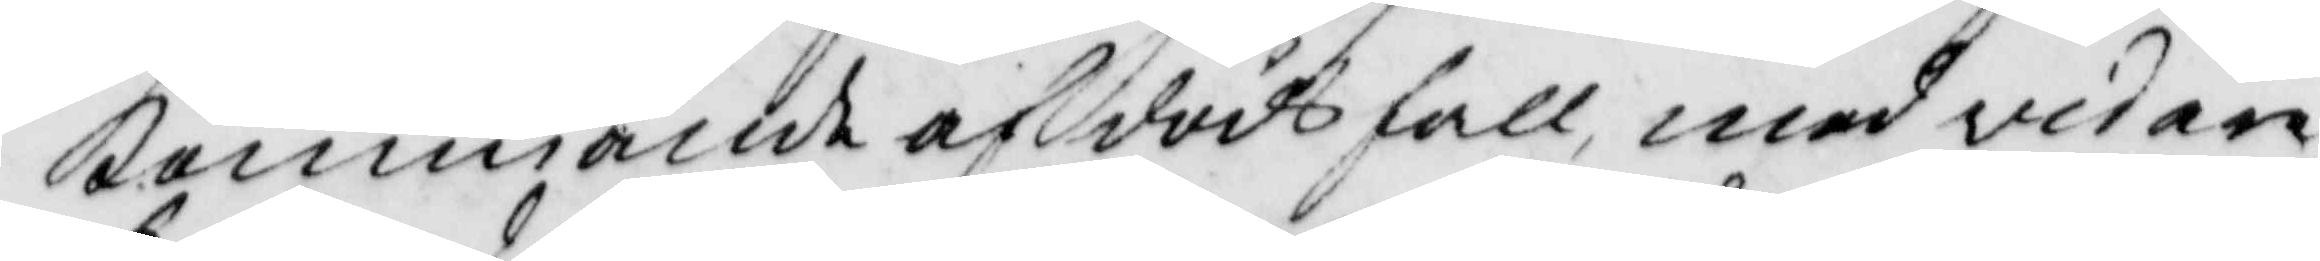kommande af dödsfall, med vidare
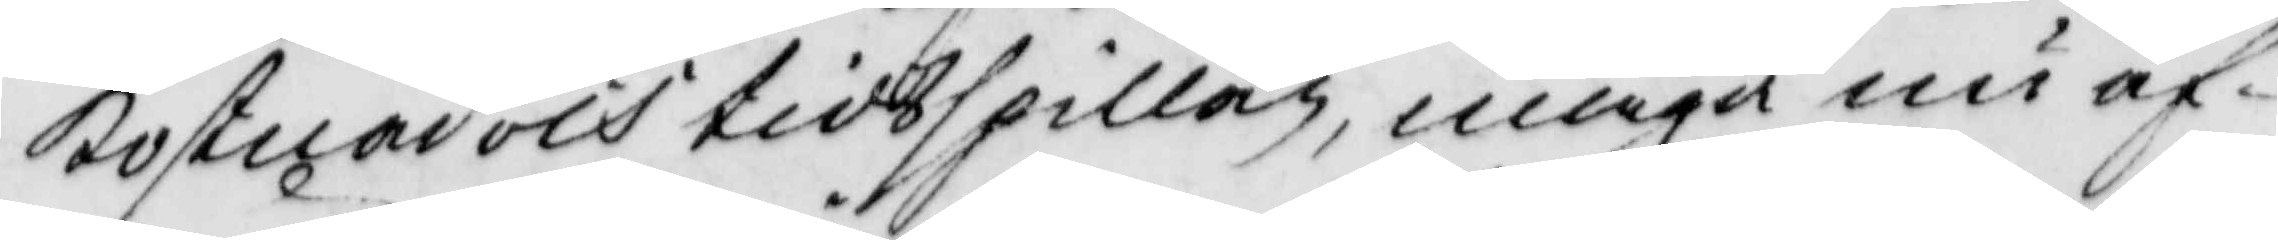kostnad och tidsspillan, måga nu af¬
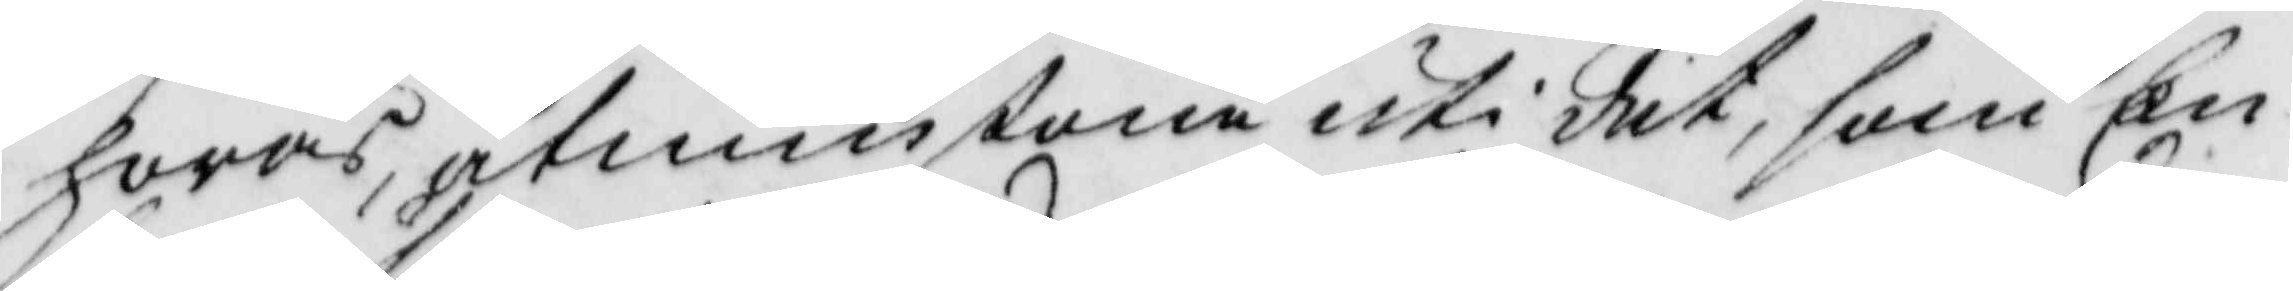höras, åtminstone uti det, som En¬
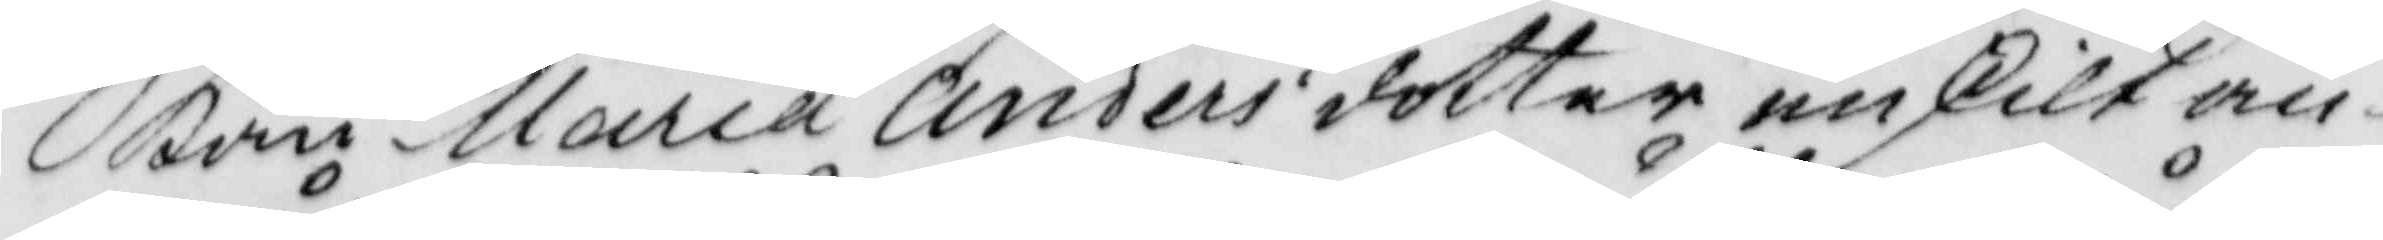kan Maria Andersdotter enskilt an¬
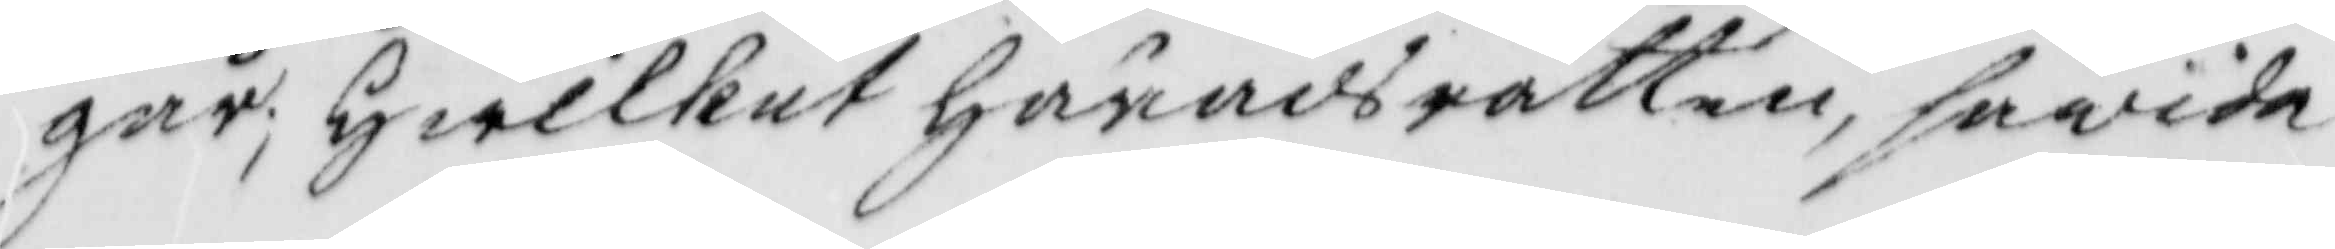går; hwartill Häradsrätten, såvida
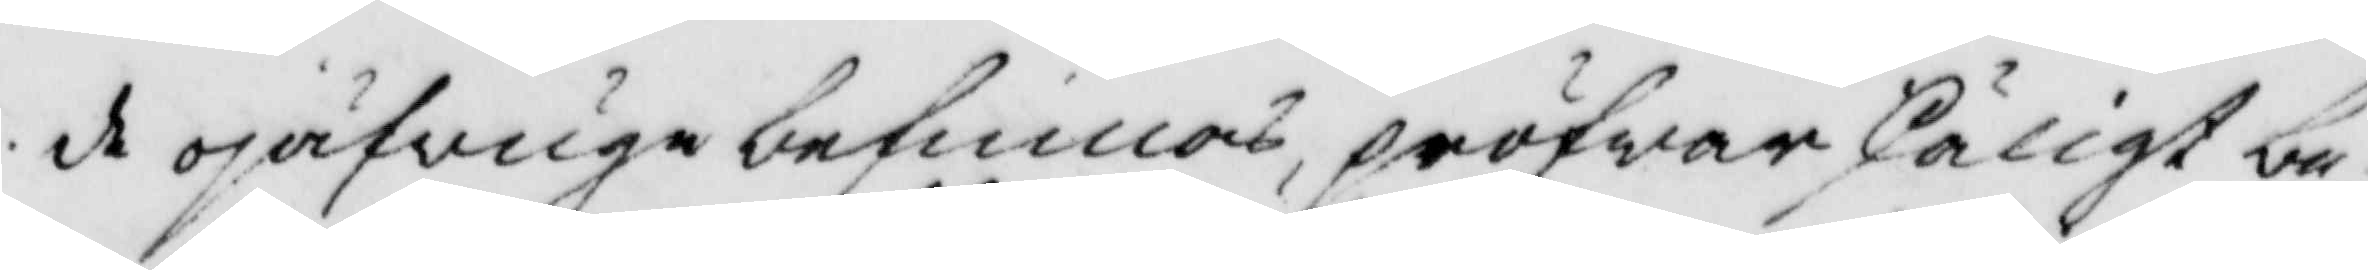de ojäfvige befinnas, pröfwar skäligt be¬
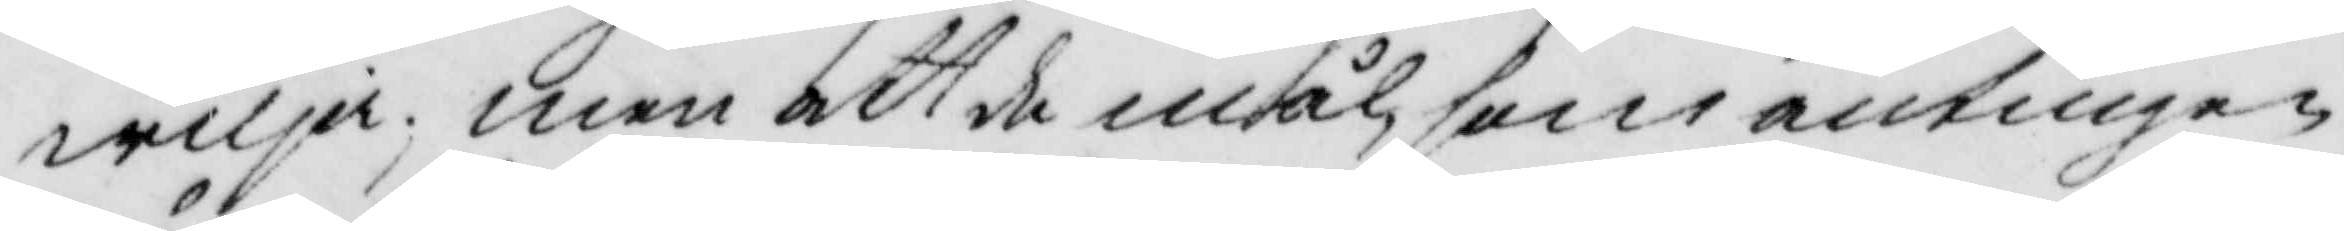wilja; men att de mål, som antingen
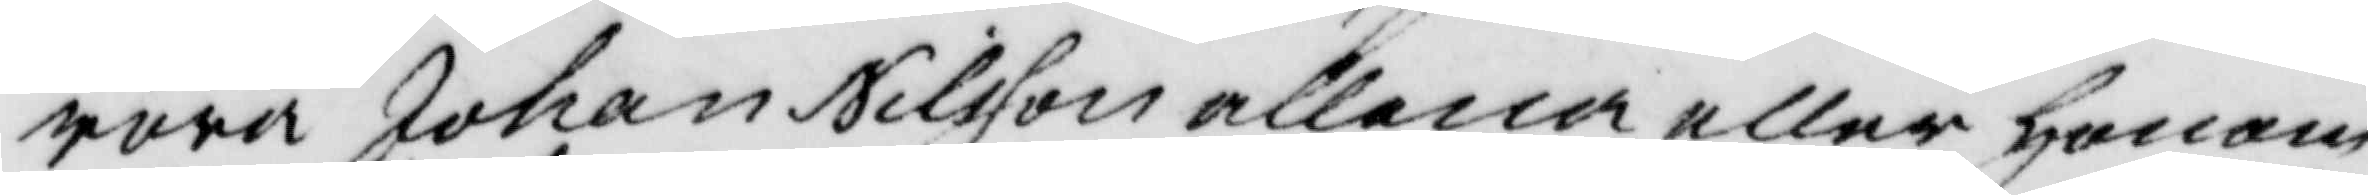röra Johan Nilsson allena eller honom
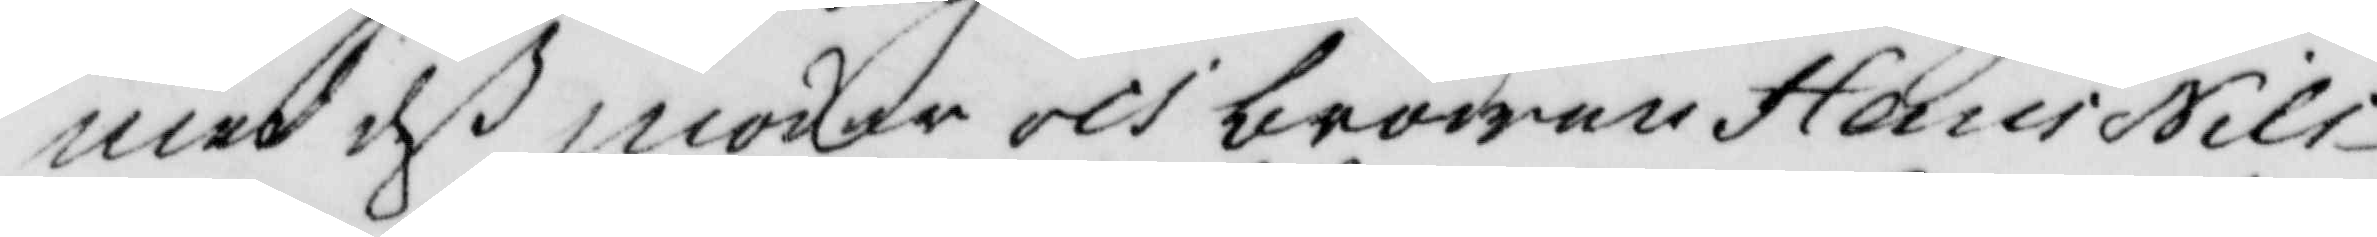med deß moder och brodren hans Nils¬
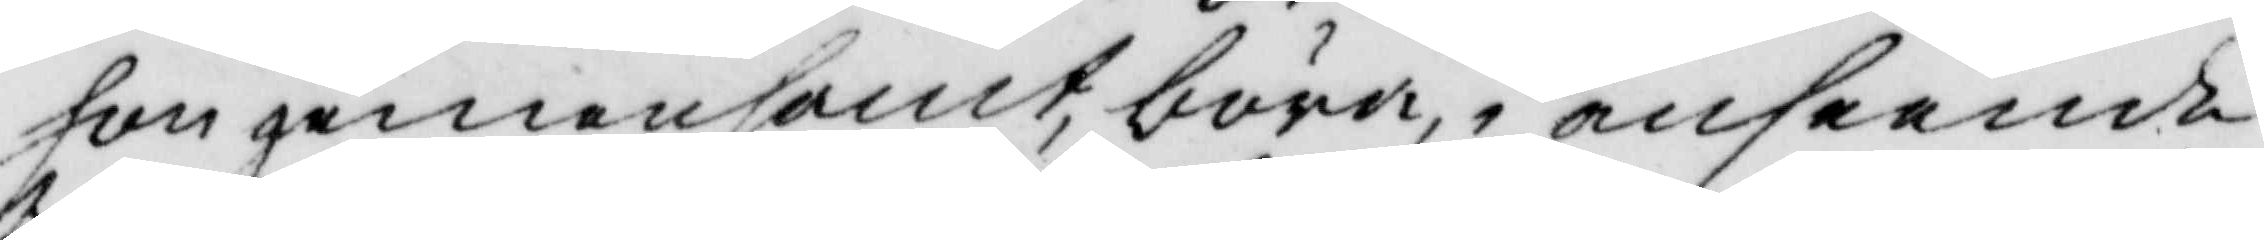son gemensamt, böra i anseende
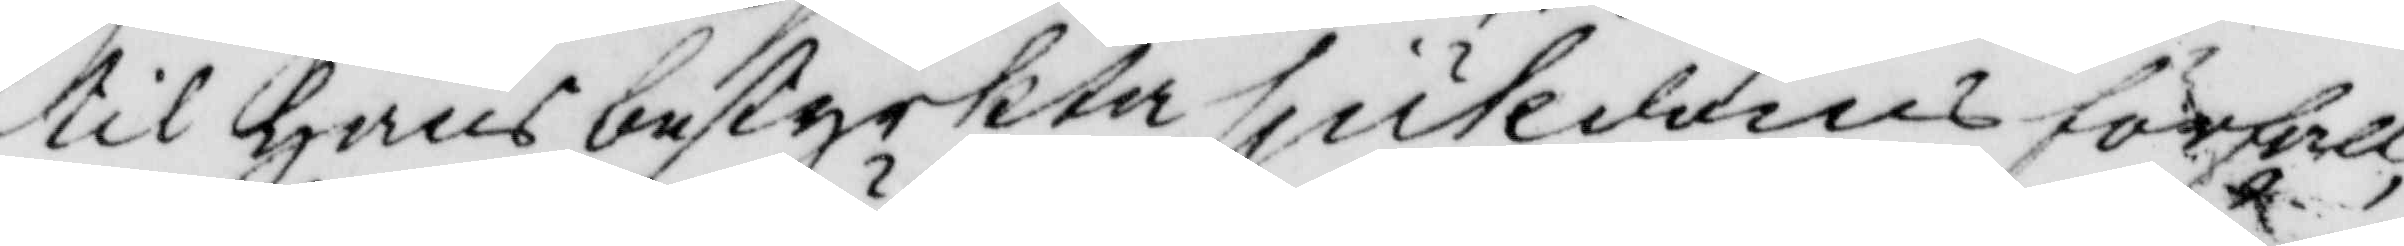til hans bestyrkta sjukdoms förfall
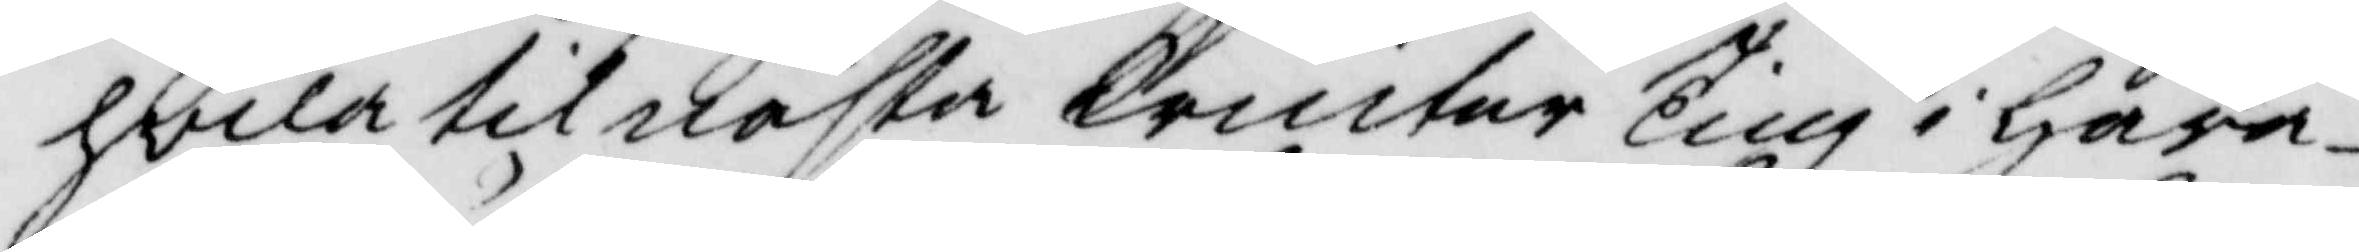hvila til nästa Winter Ting i hära¬
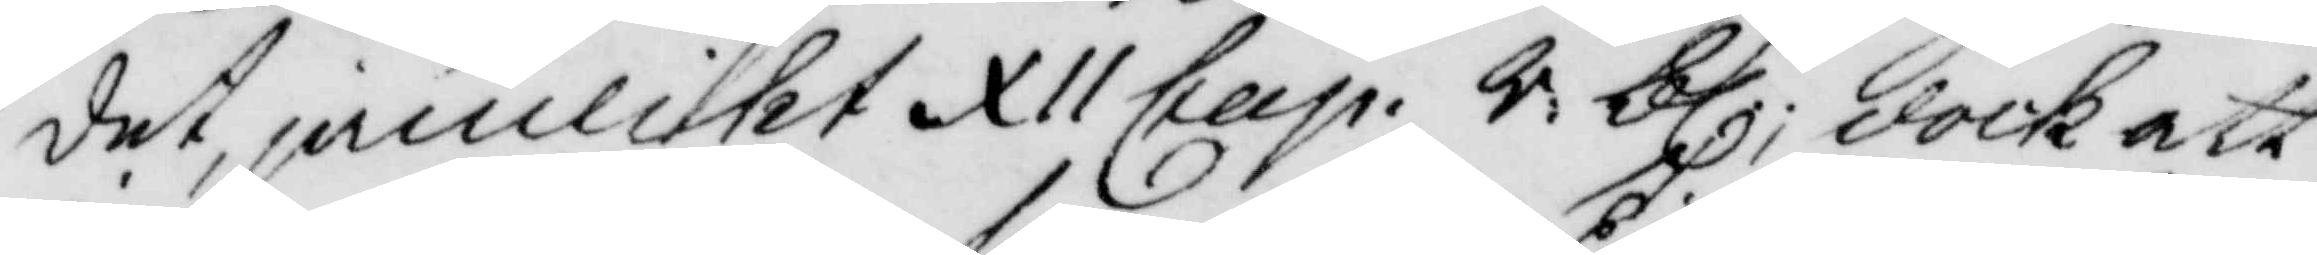det, jämlikt XII Cap. R. bl. dock att
